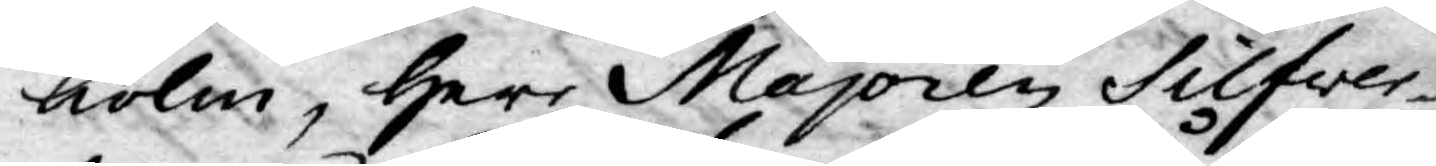holm, Herr Majoren Silfwer¬
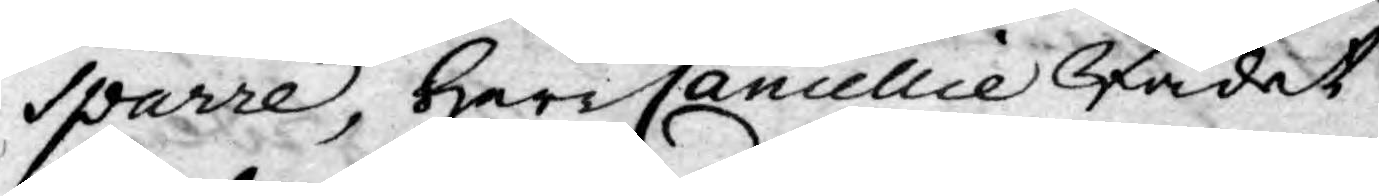Sparre, Herr Cancellie Rådet
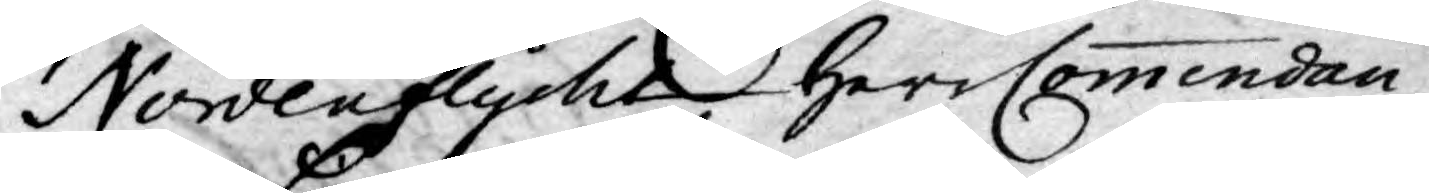Nordenflycht Herr Commendan¬
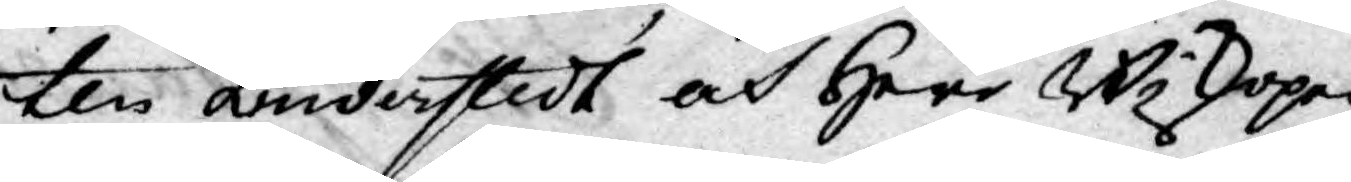ten Linderstedt och Herr Biskopen
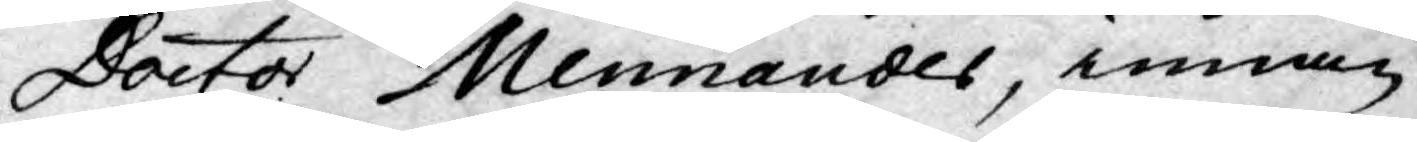Doctor Mennander, innan
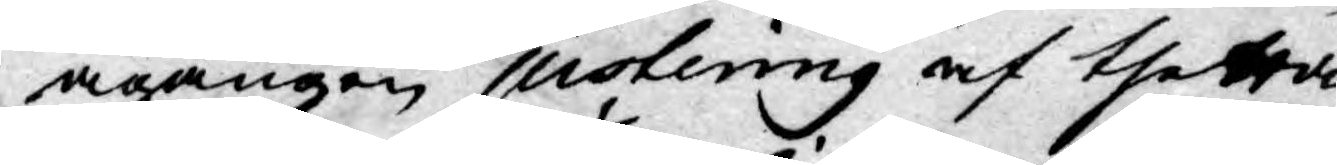ingången justering af thetta
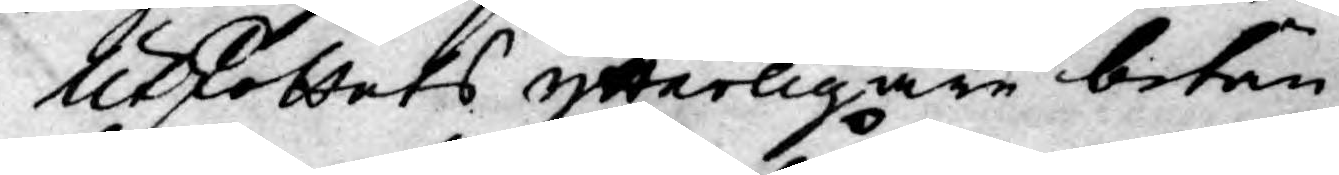Utskottets ytterligare betän¬
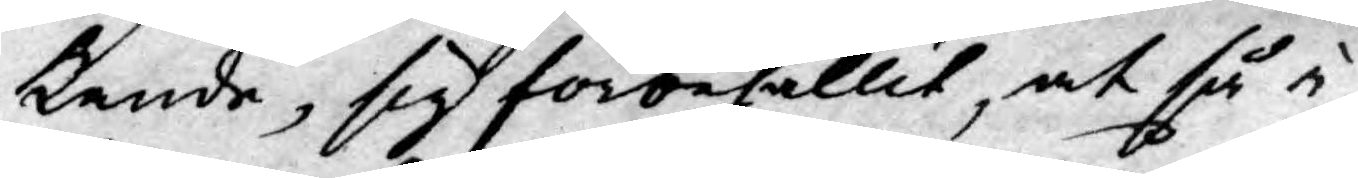kande, sig förbehallit, at så i
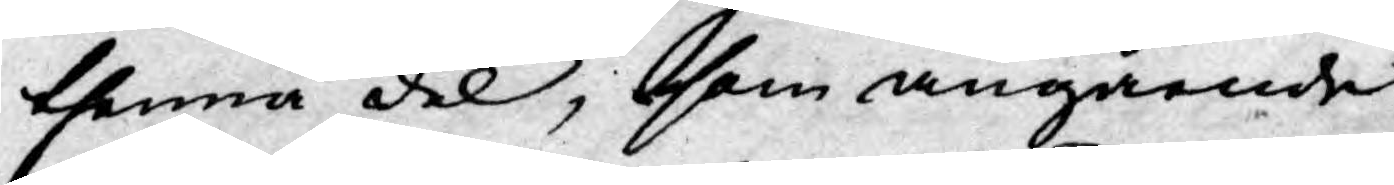thenna del, som angående
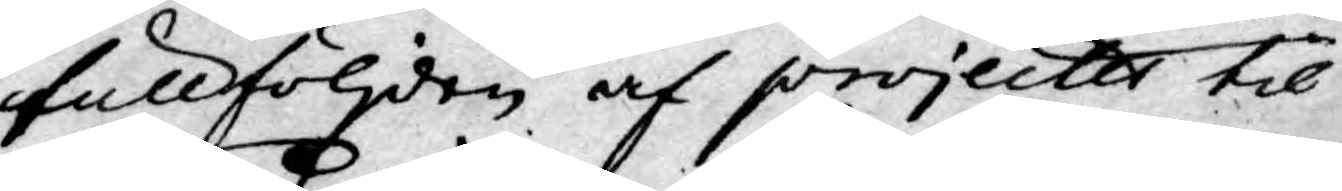fullföljden af projecter til
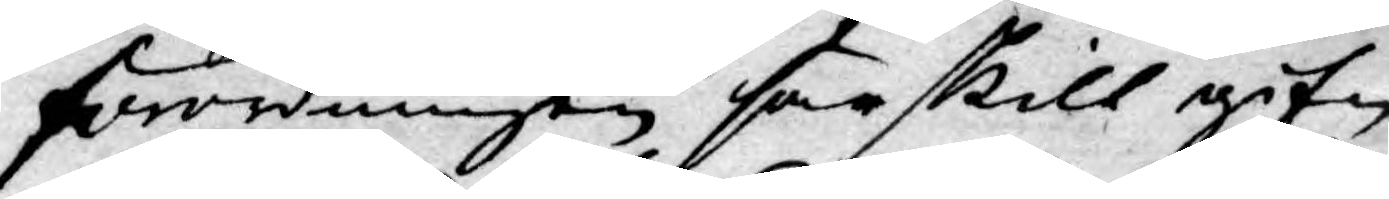förordningen särskilt gif¬
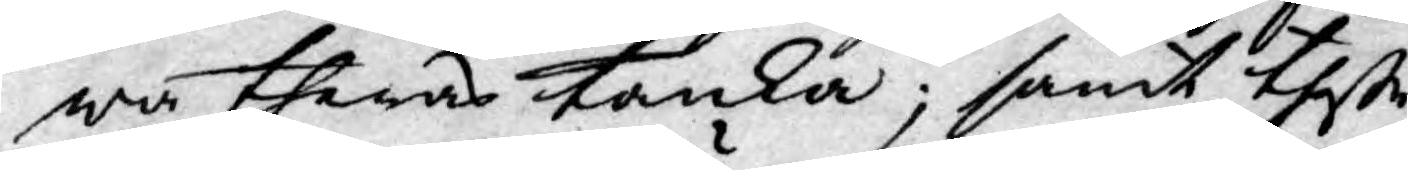wa theras tanka; samt these
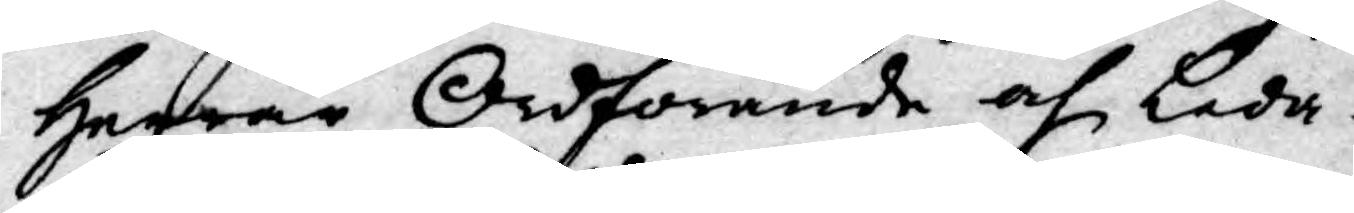Herrar Ordförande och Leda¬
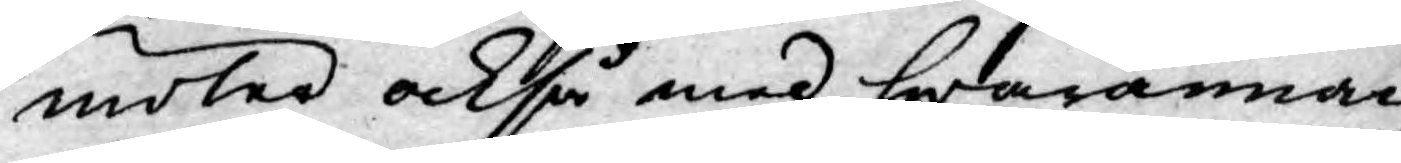möter också med hwarannan
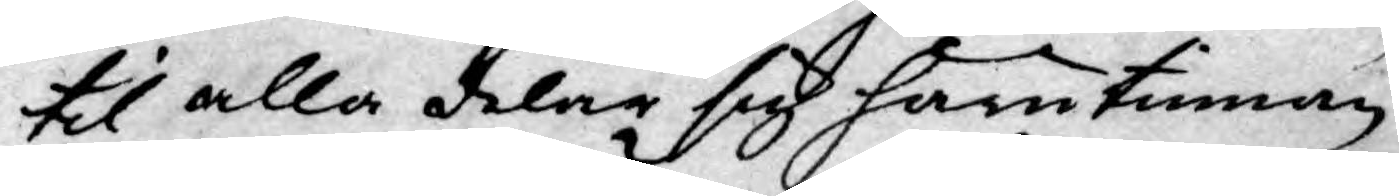til alla delar sig härutinnan
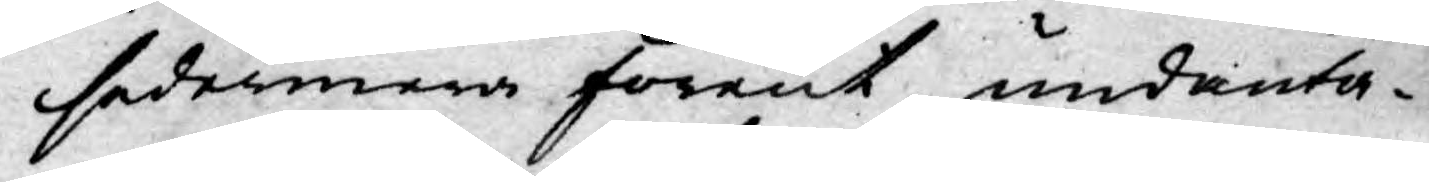sedermera förent undanta¬
